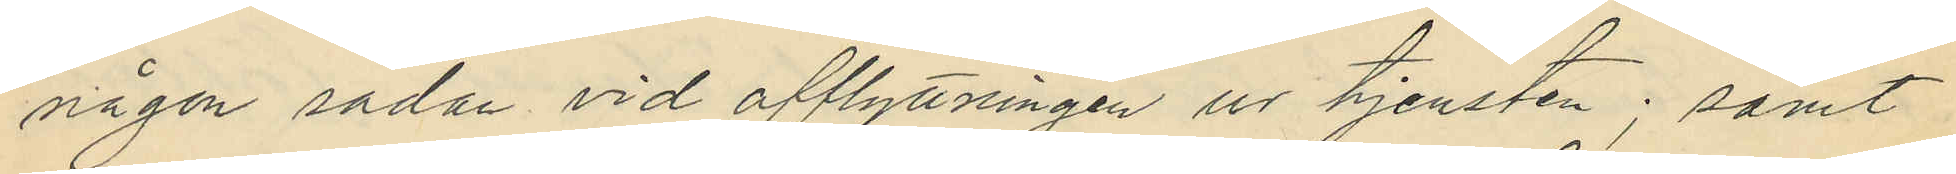någon sådan vid afflyttningen ur tjensten; samt
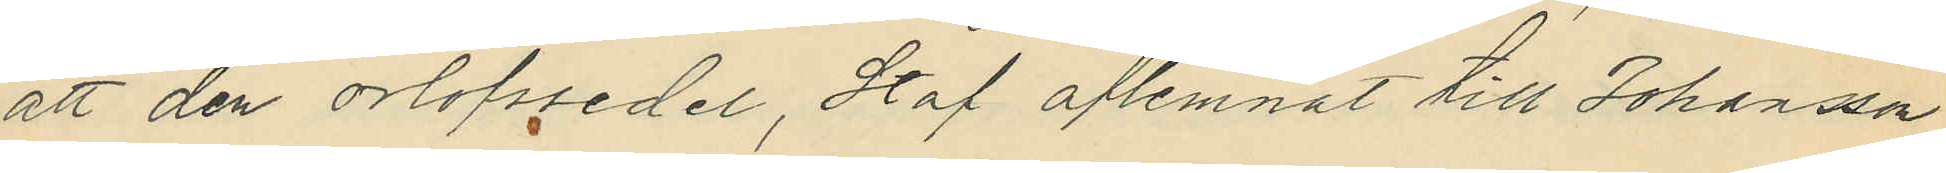att den orlofssedel, Staf aflemnat till Johansson
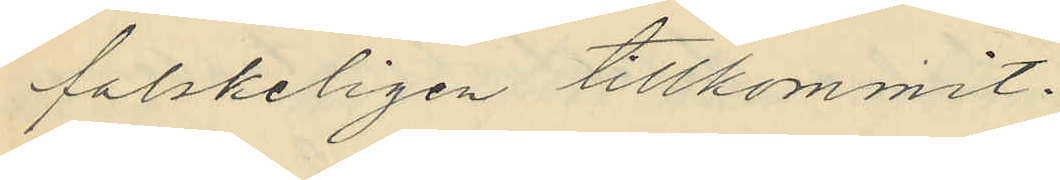falskeligen tillkommit.
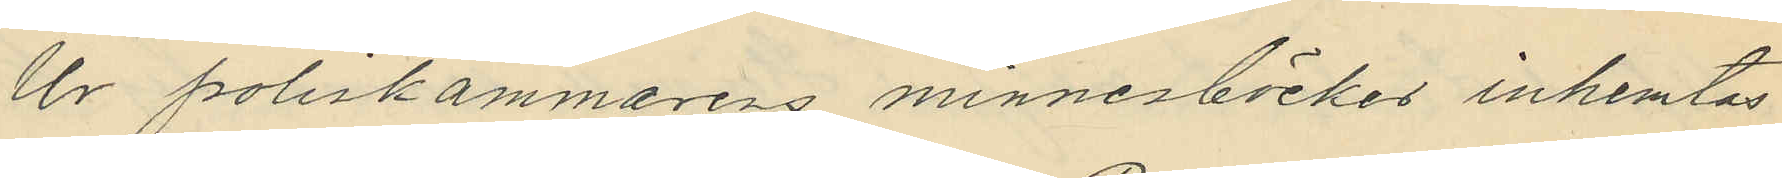Ur poliskammarens minnesböckes inhemtas
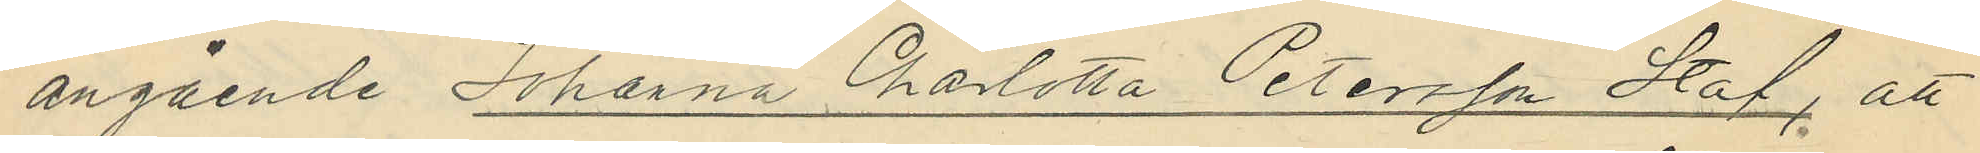angående Johanna Charlotta Petersson Staf, att
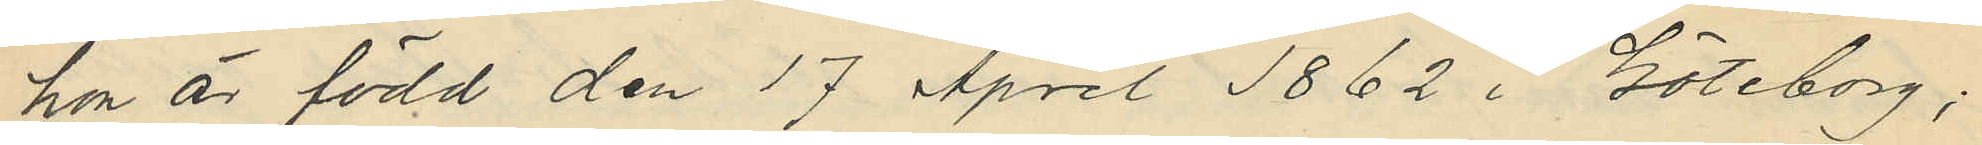hon är född den 17 April 1862 i Göteborg;
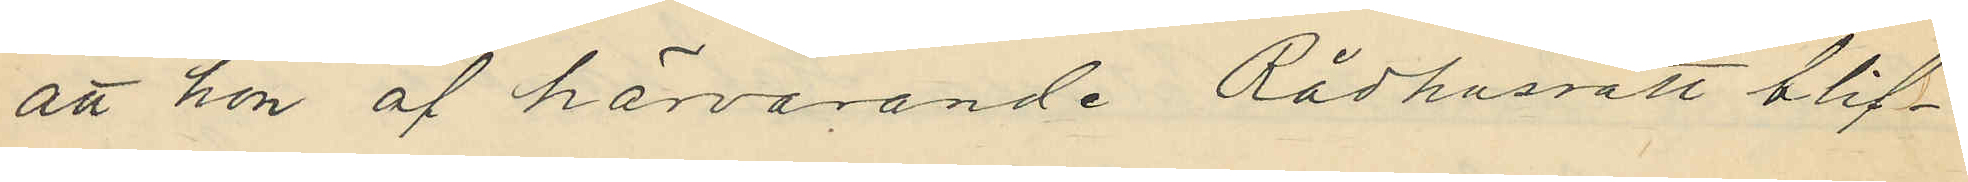att hon af härvarande Rådhusrätt blif¬
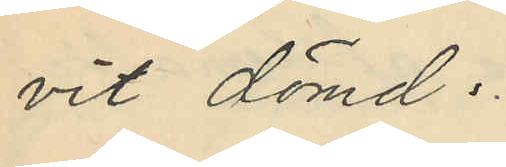vit dömd.
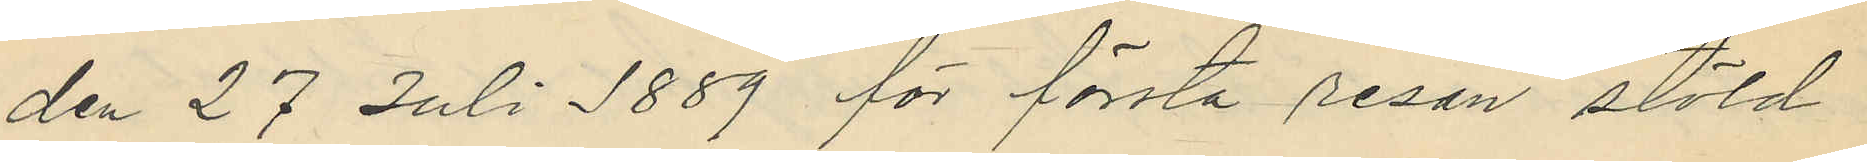den 27 Juli 1889 för första resan stöld
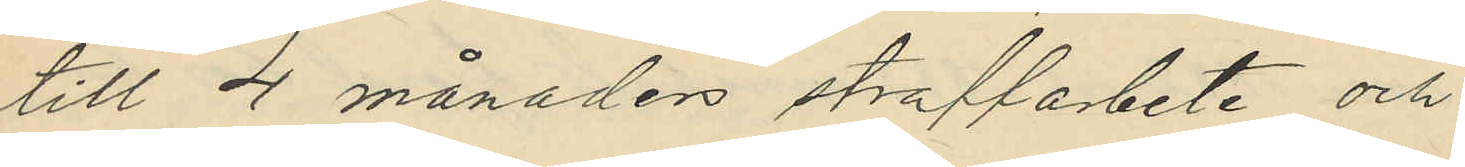till 4 månader straffarbete och
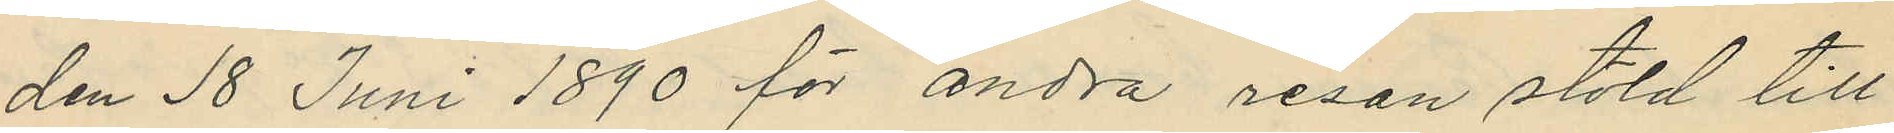den 18 Juni 1890 för andra resan stöld till
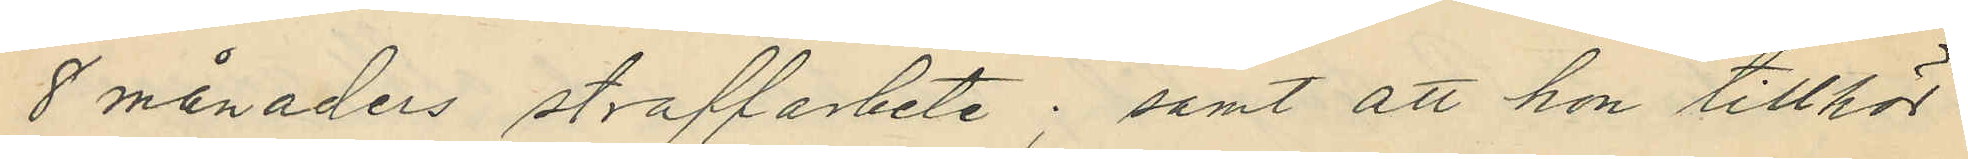8 månaders straffarbete; samt att hon tillhör
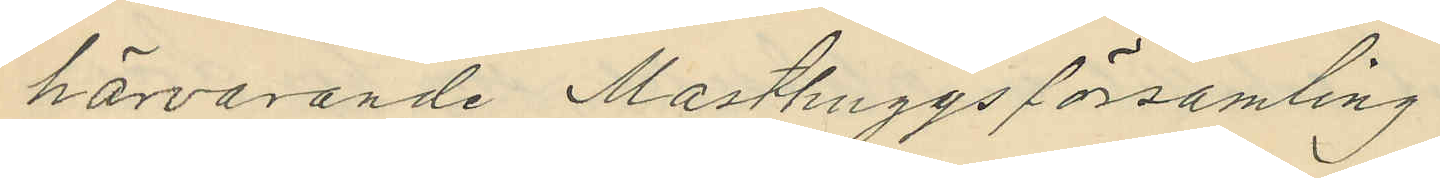härvarande Masthuggsförsamling.
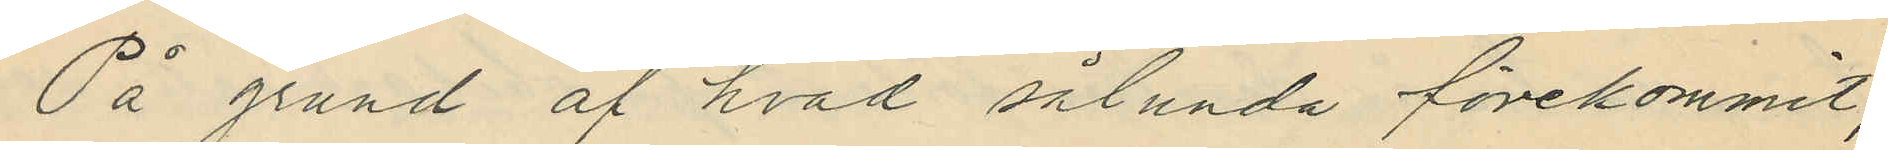På grund af hvad sålunda förekommit,
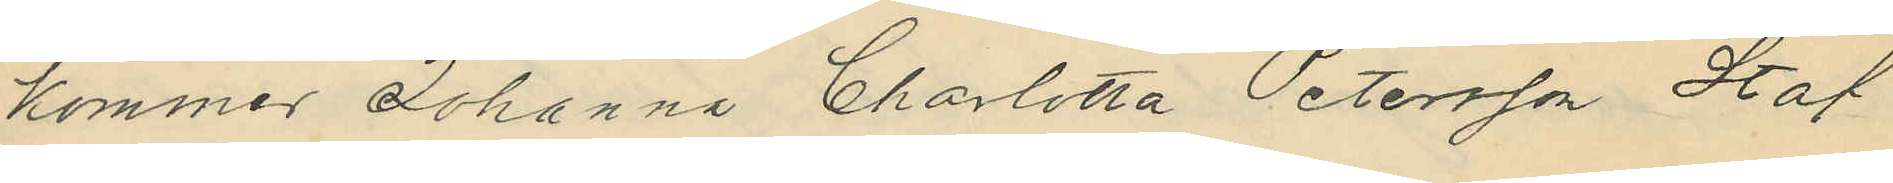kommer Johanna Charlotta Petersson Staf
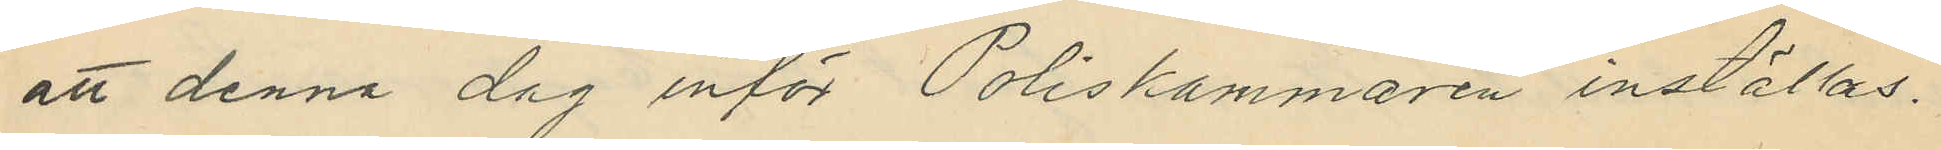att denna dag inför Poliskammaren inställas.
